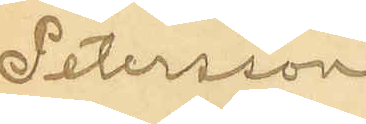Petersson
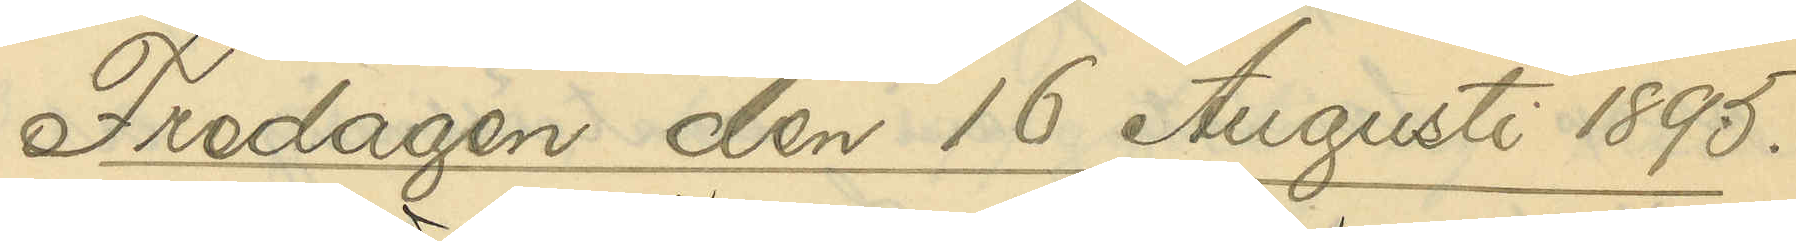Fredagen den 16 Augusti 1895.
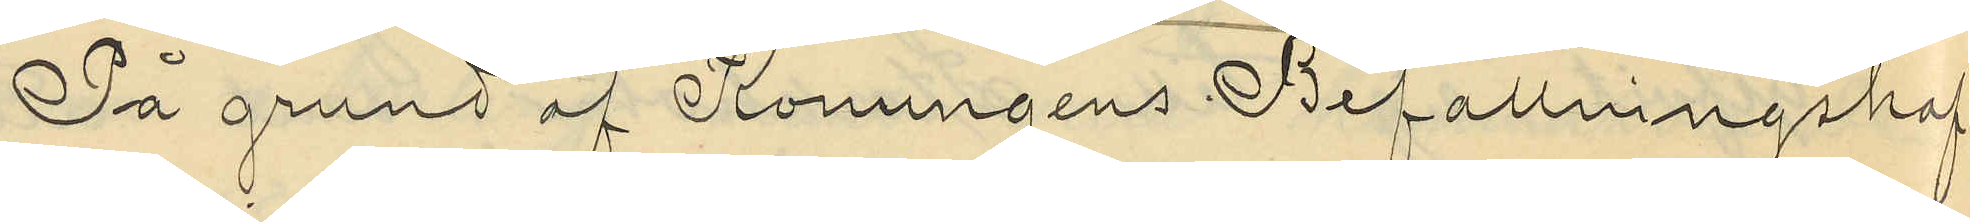På grund af Konungens Befallningshaf¬
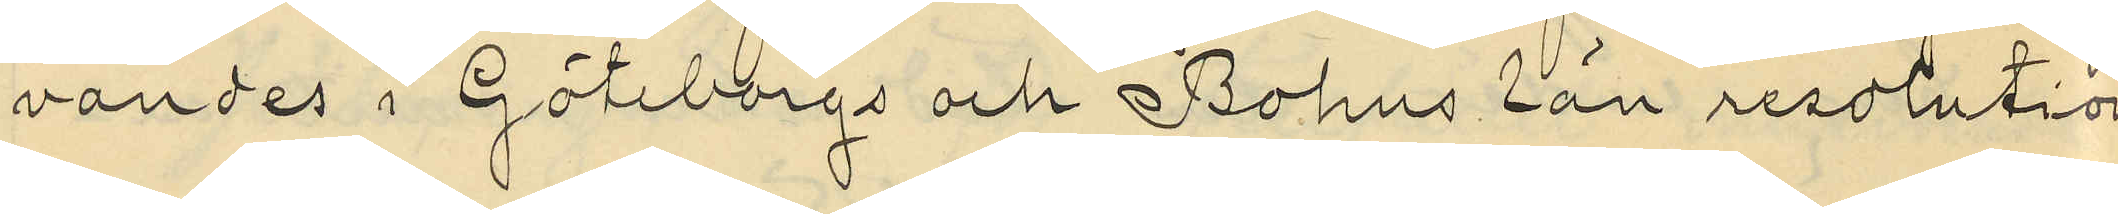vandes i Göteborgs och Bohus län resolution
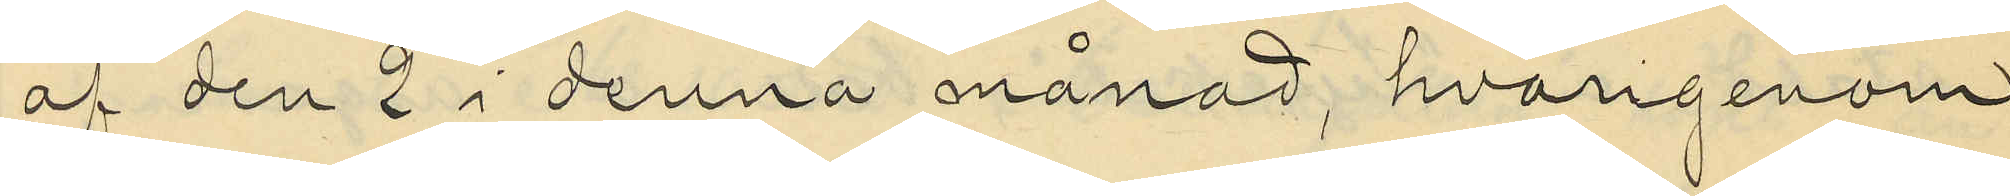af den 2 i denna månad, hvarigenom
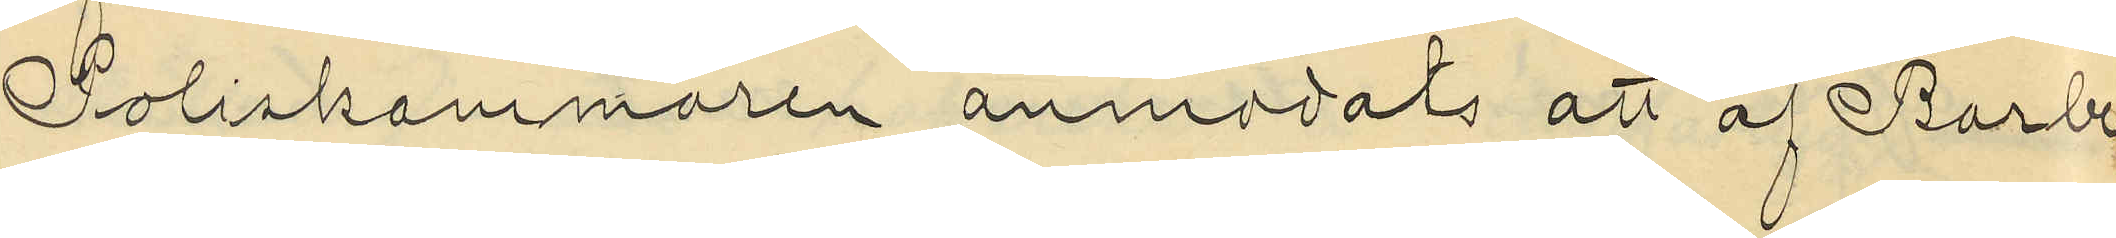Poliskammaren anmodats att af Barbe¬
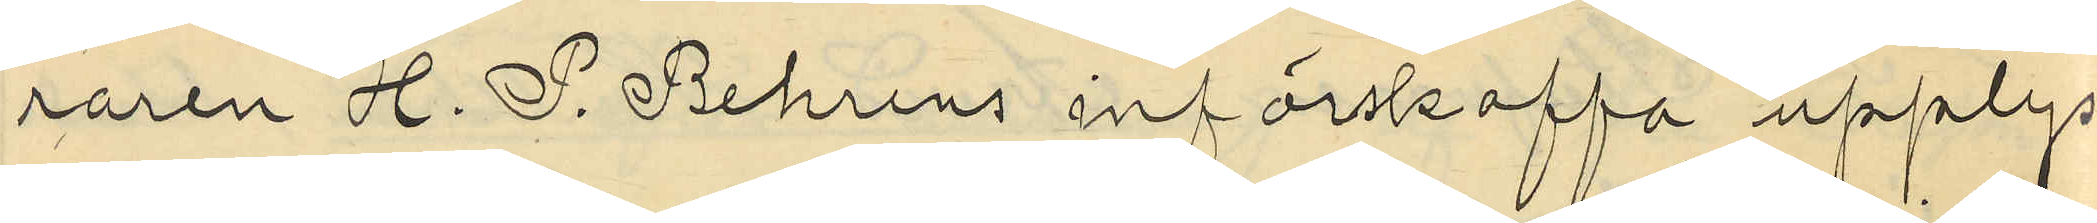raren H. P. Behrens införskaffa upplys¬
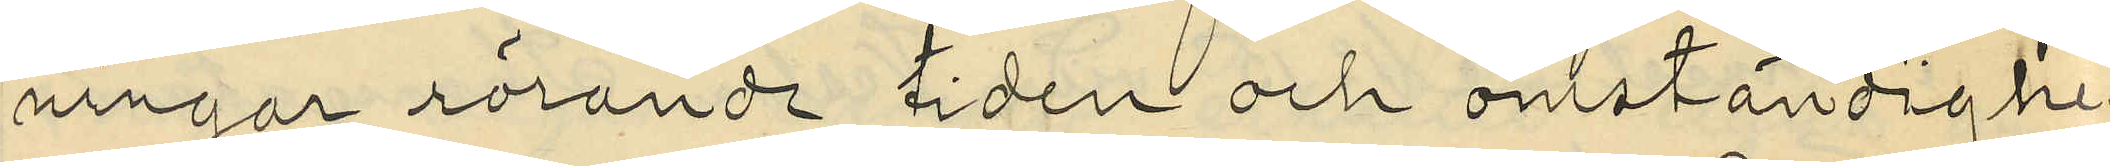ningar rörande tider och omständighe¬
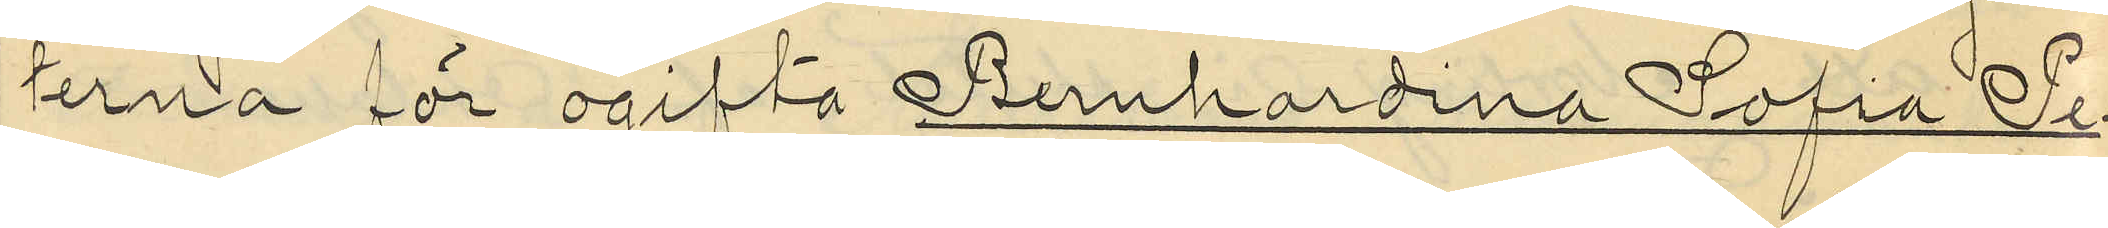terna för ogifta Bernhardina Sofia Pe¬
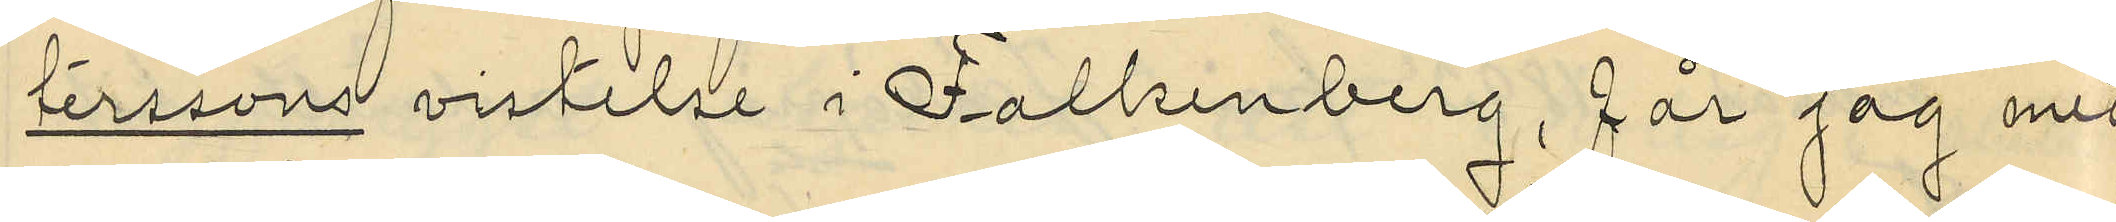terssons vistelse i Falkenberg, får jag med
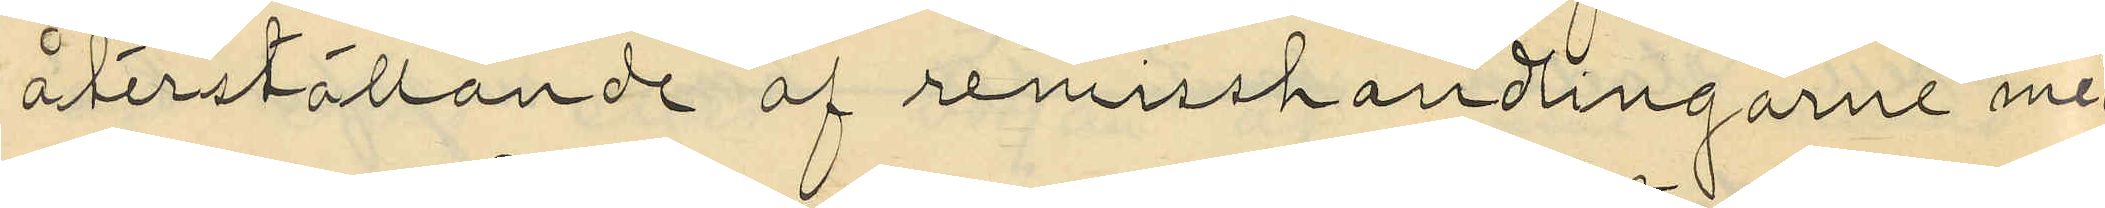återställande af remisshandlingarne med¬
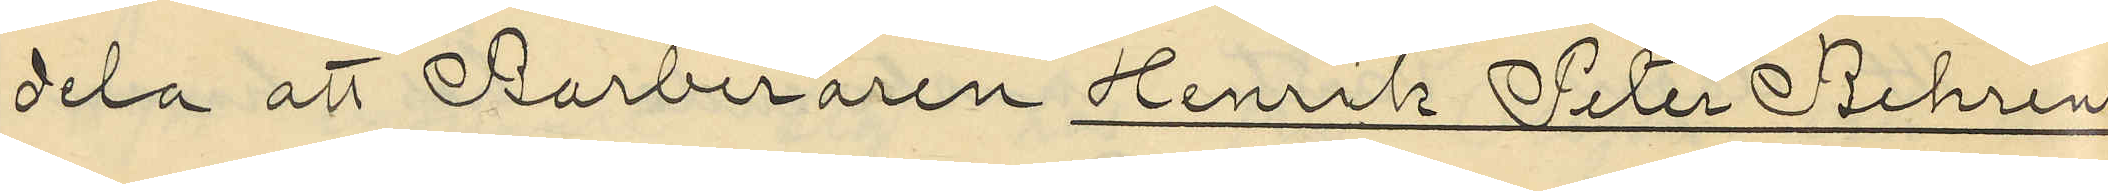dela att Barberaren Henrik Peter Behrens
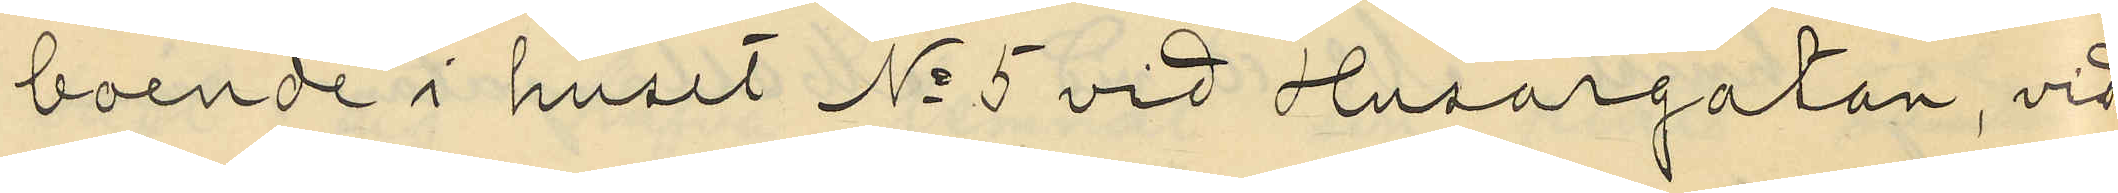boende i huset No 5 vid Husargatan, vid
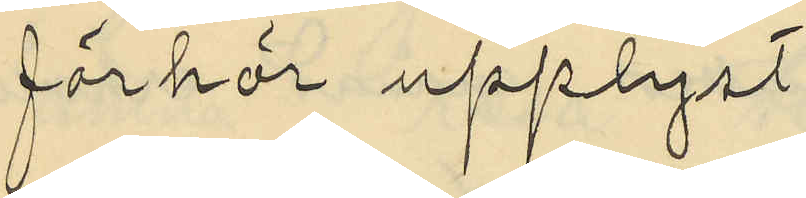förhör upplyst:
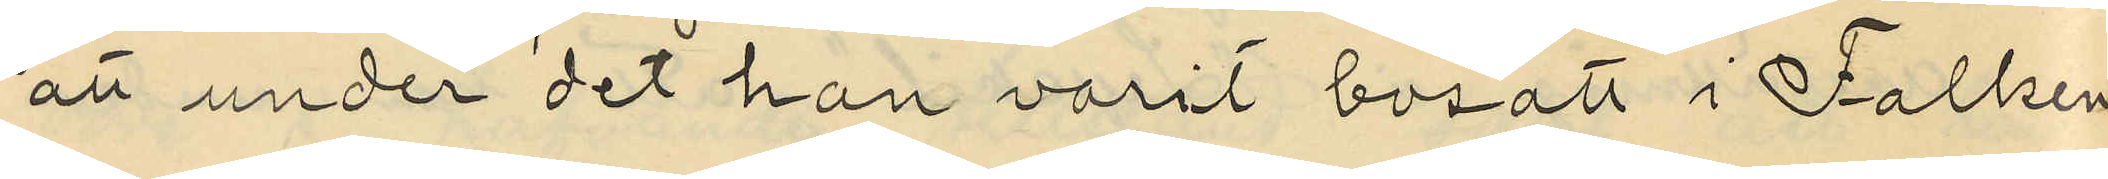att under det han varit bosatt i Falken¬
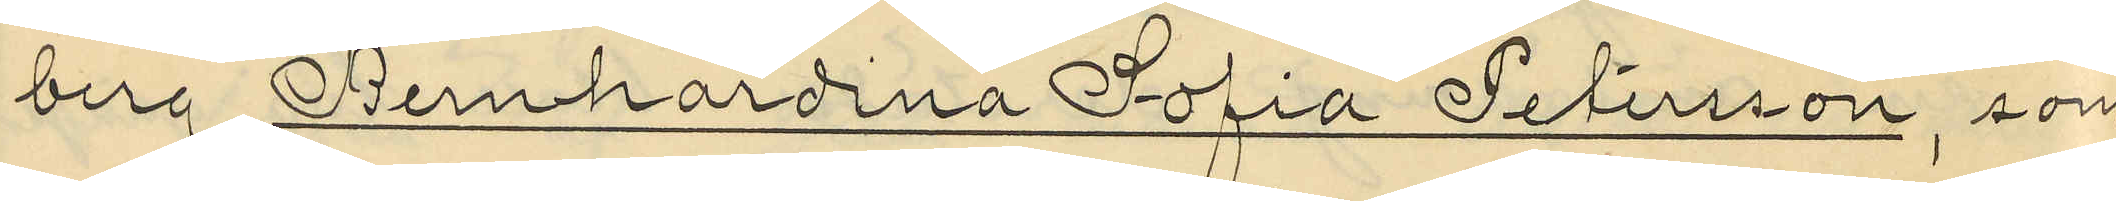berg, Bernhardina Sofia Petersson, som
